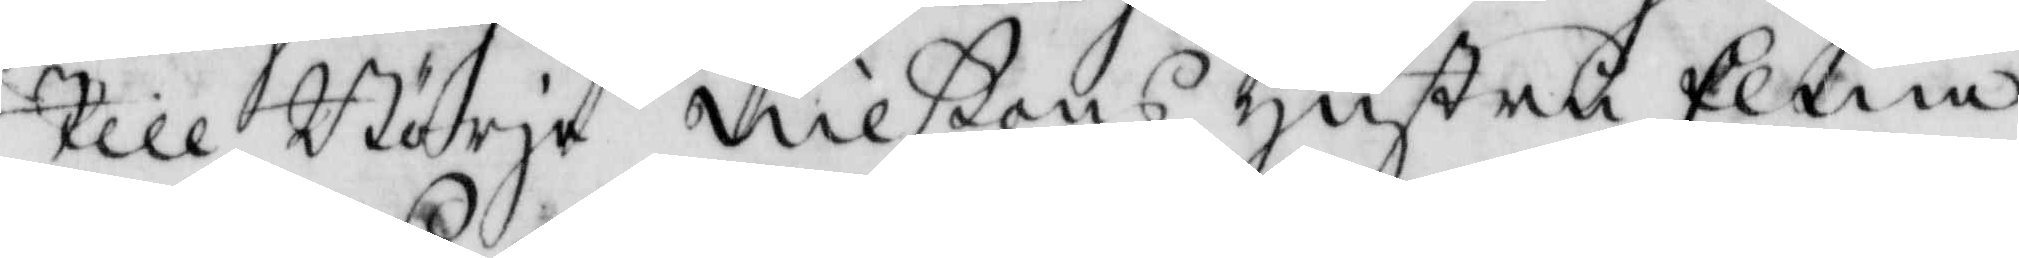till Börje Nilßons hustru Ellna
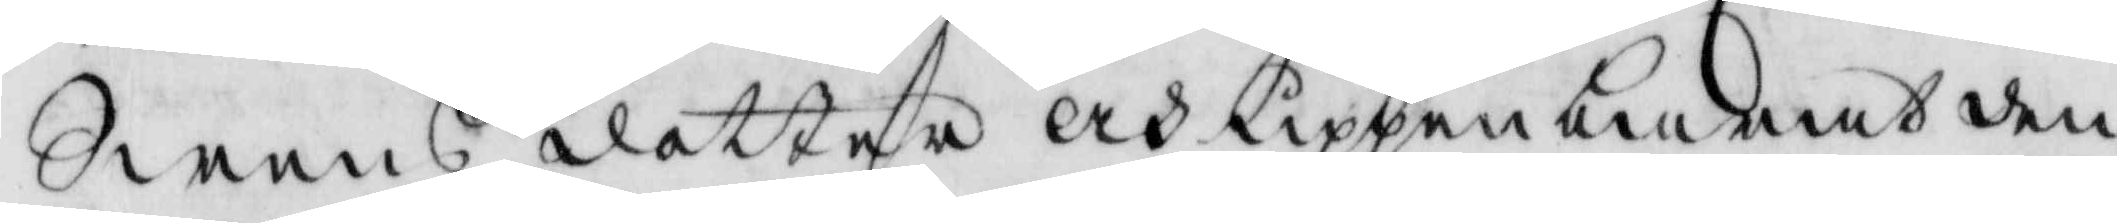Swens dotter och uppenbarat den¬
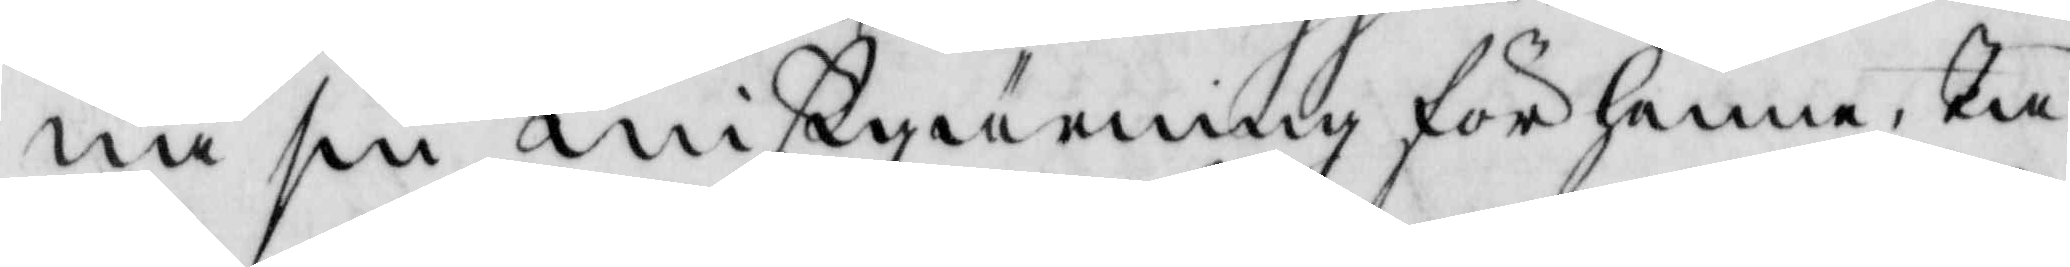na sin mißgärning för henne, Tå
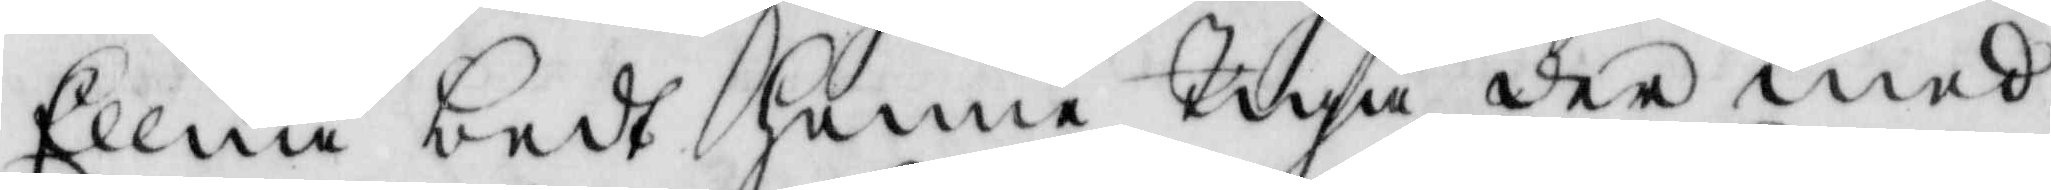Ellna bedt henne tiga dermed
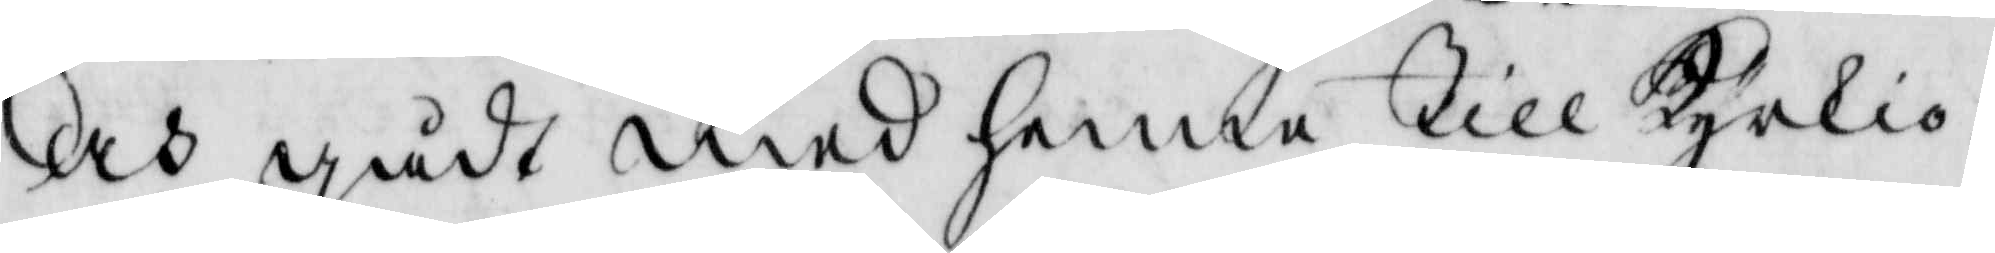och gådt med henne till Kyrkio¬
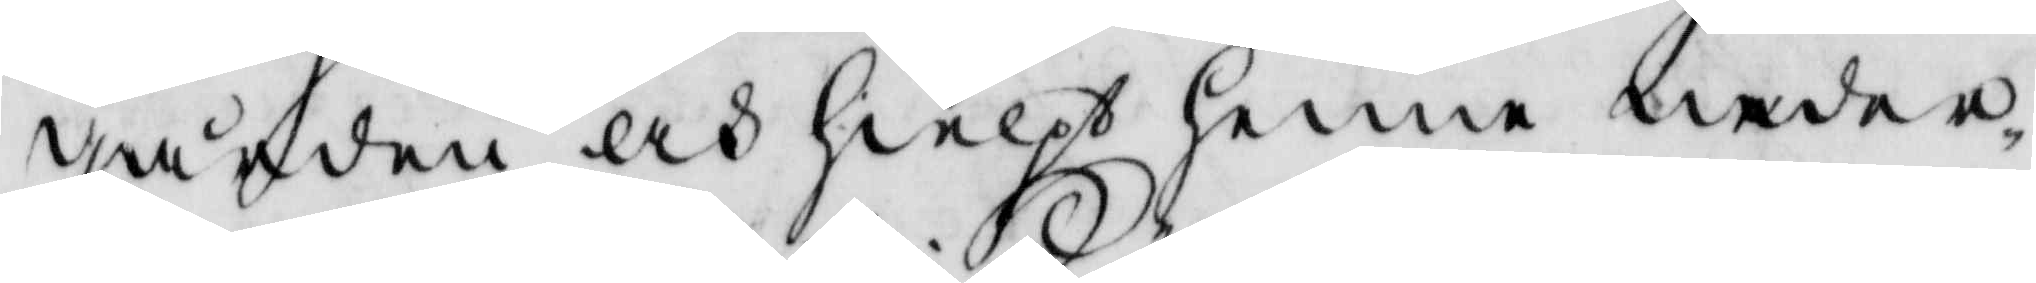gården och hielpt henne neder¬
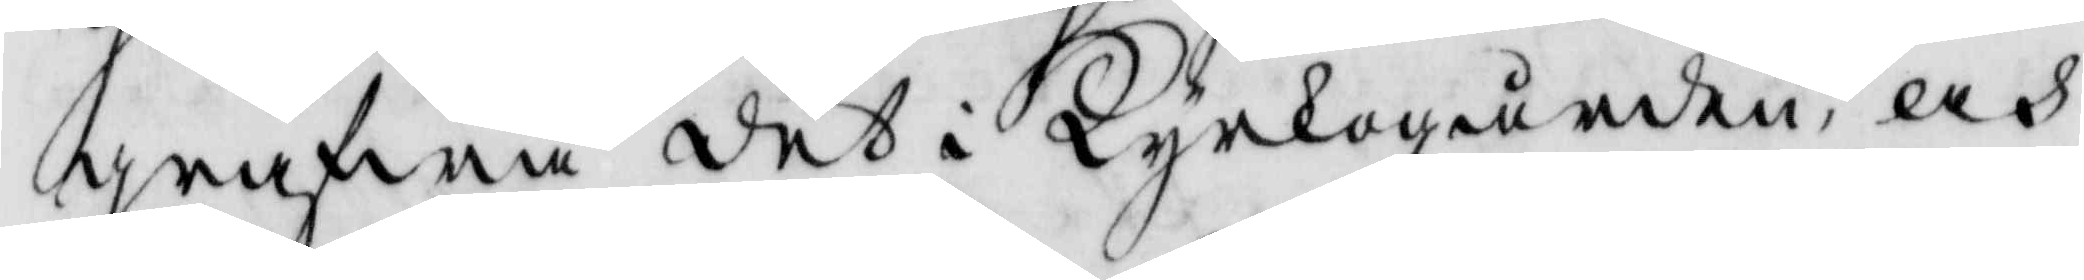grafwa det i Kyrkogården, och
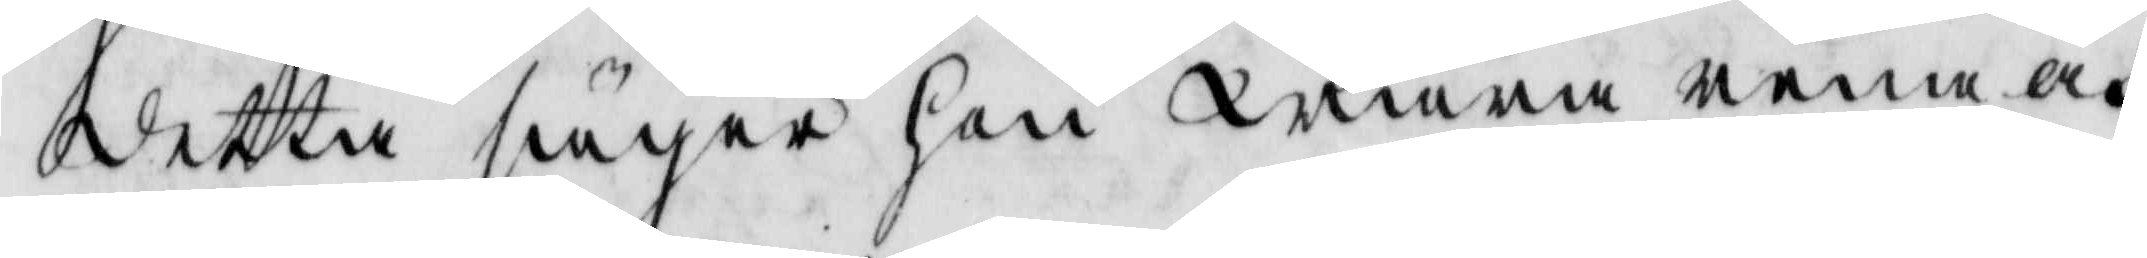detta säger hon wara rena och
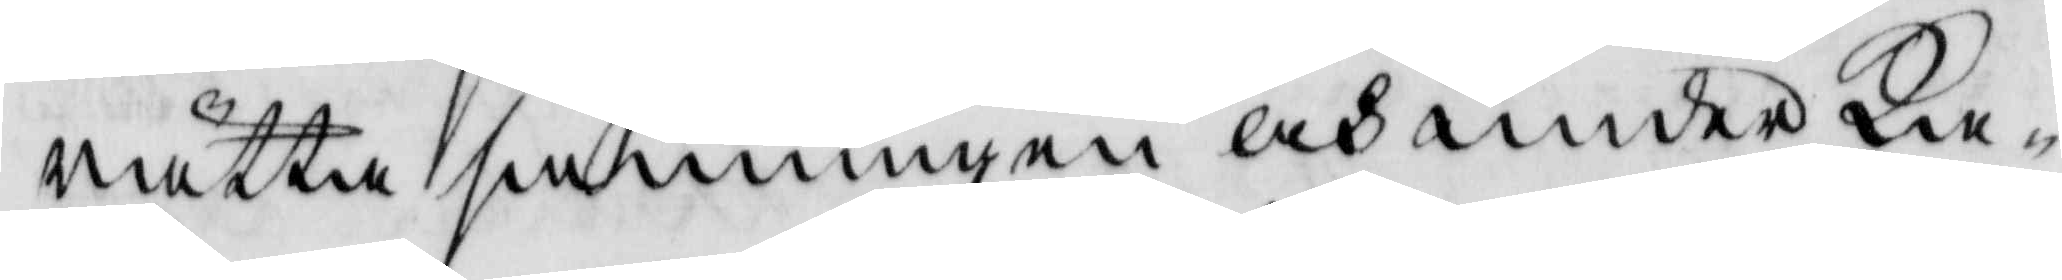rätta sanningen och under Ka¬
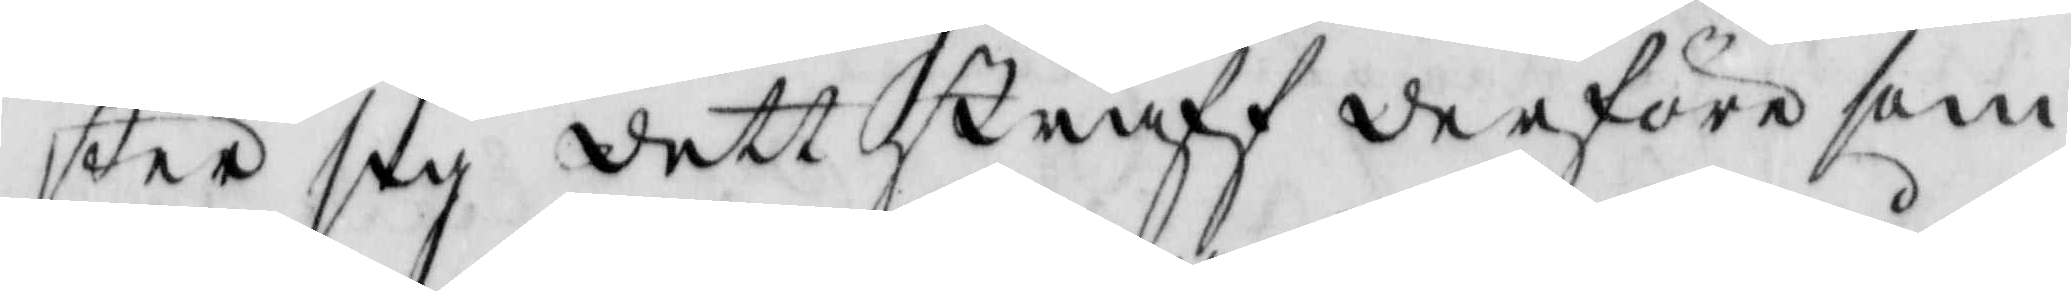star sig dett straff derföre som
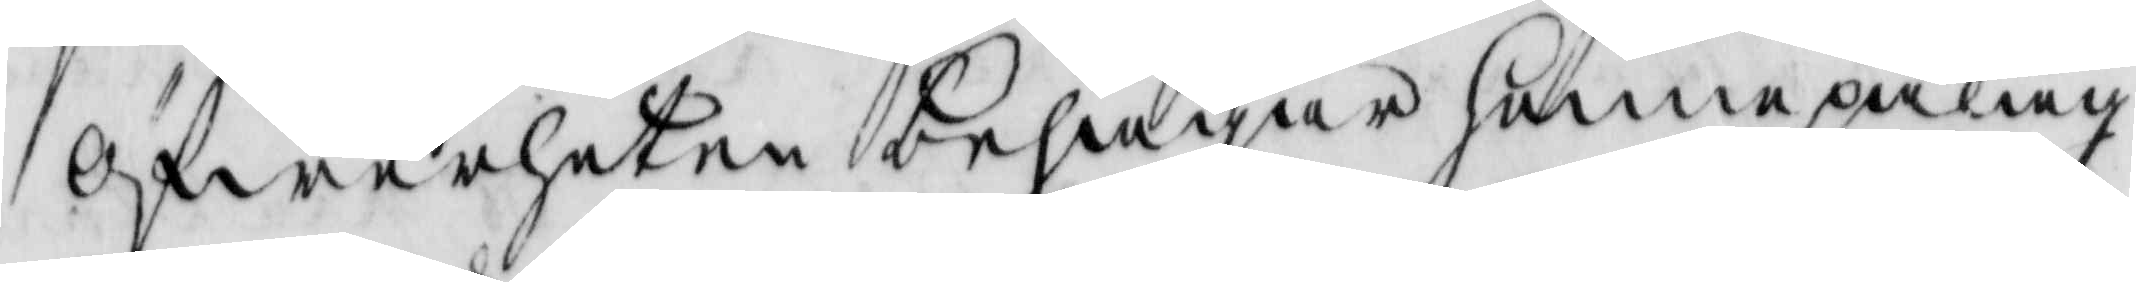öfwerheten behagar henne påläg¬
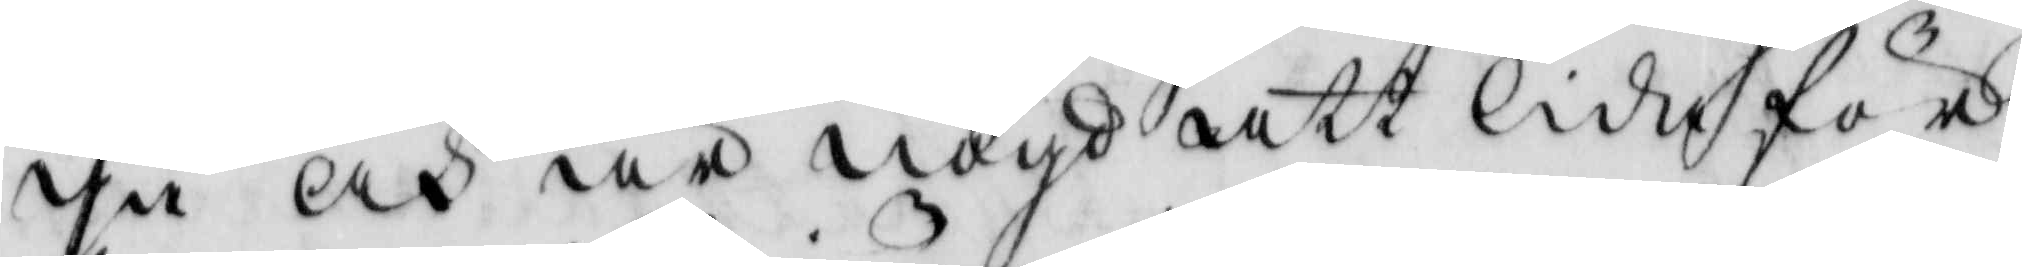ga och är nögd att lida för
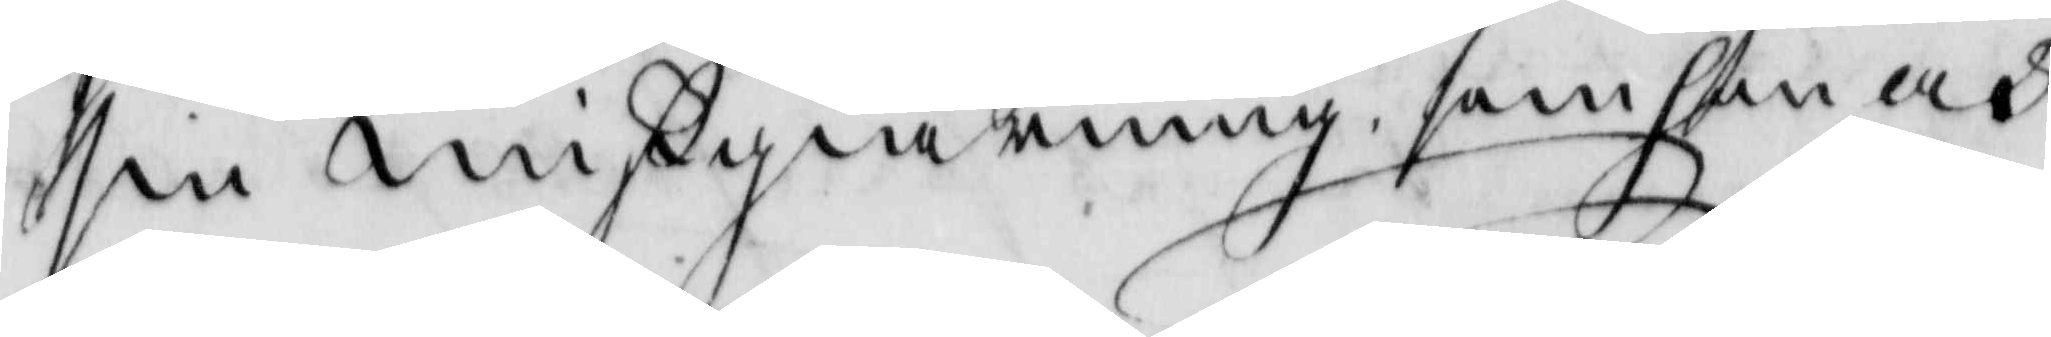sin mißgiärning som hon och
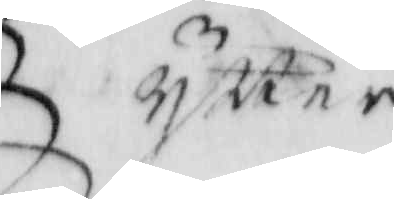ytter
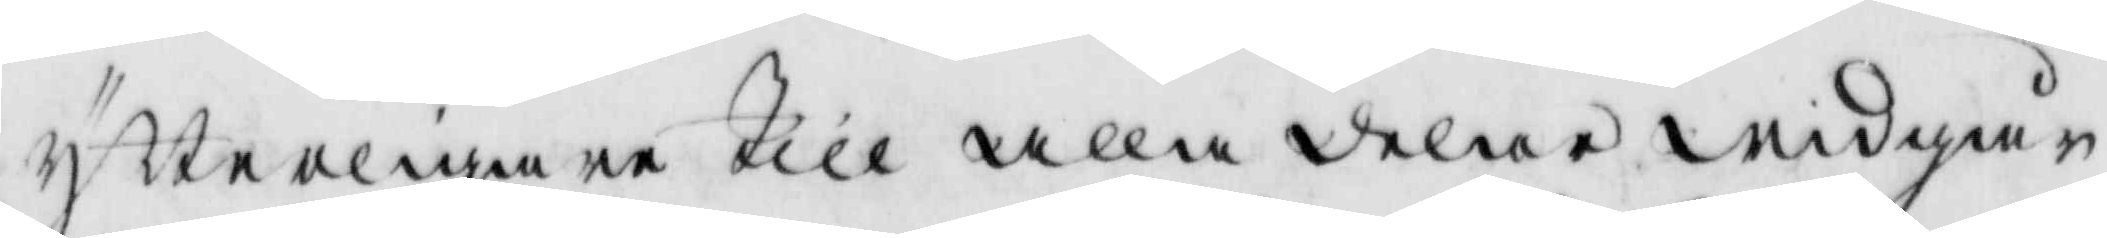ytterligare till alla delar widgår
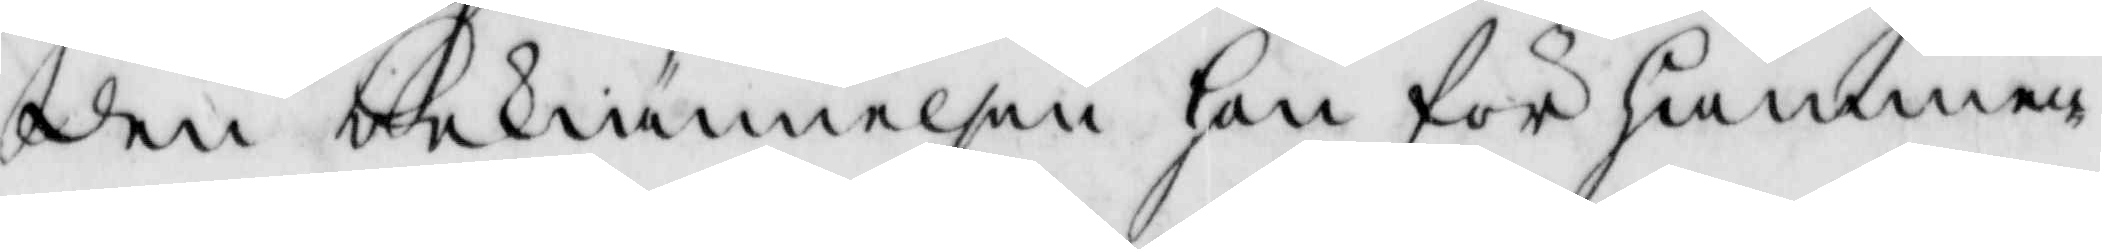den bekiännelsen hon för hammen¬
